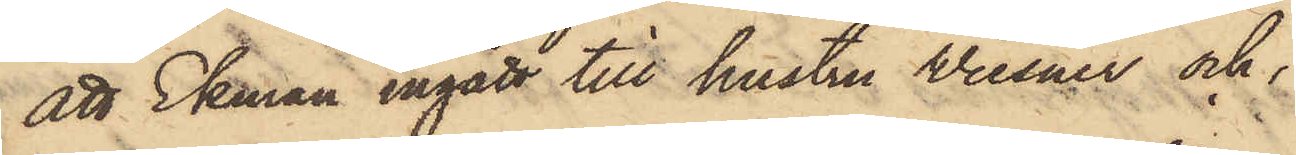att Ekman ingått till hustru Wiesner och
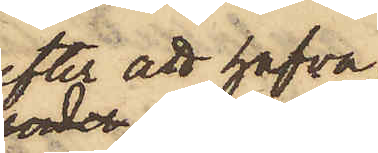efter att hafva
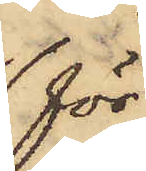för
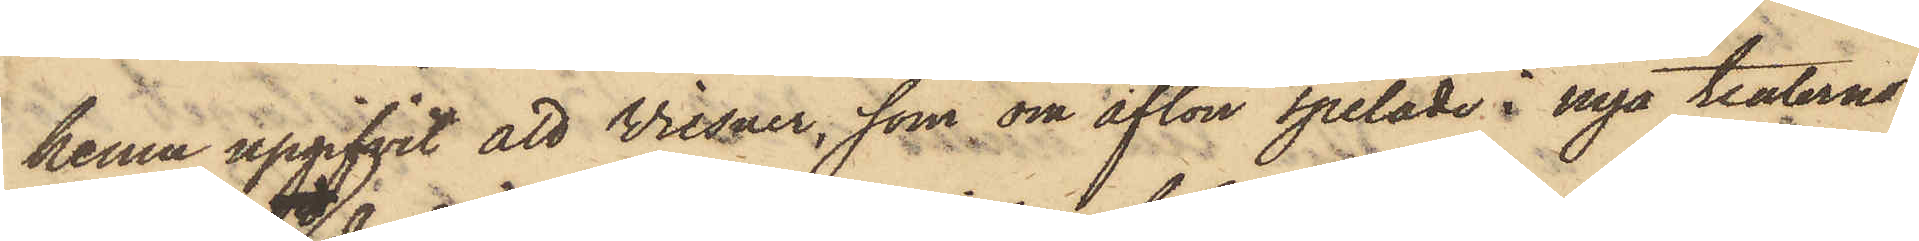henne upgifvit att Wiesner, som om afton spelade i nya teaterns
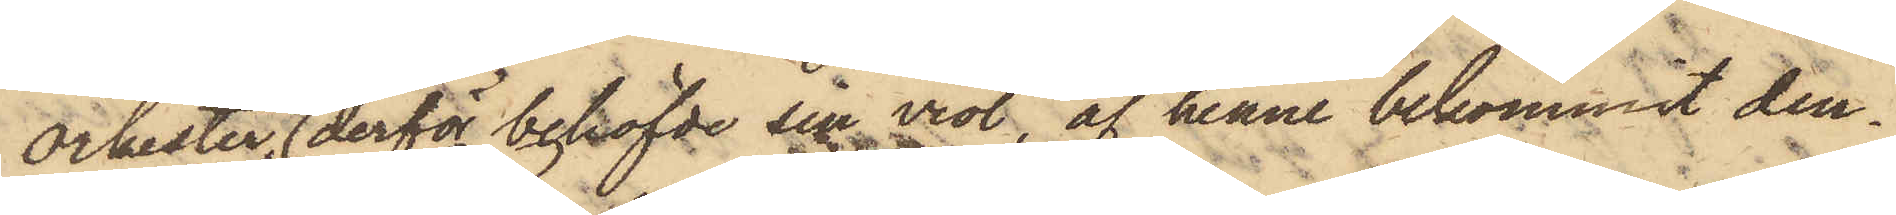orkester, derför behöfde sin viol, af henne bekommit den¬
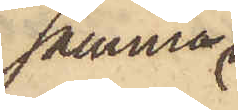samma
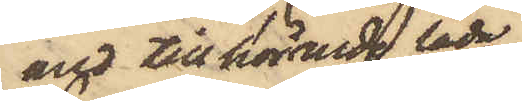och tillhörande låda,
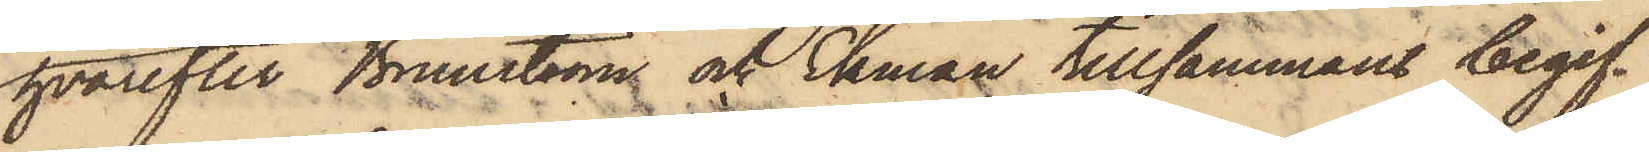hvarefter Brunström och Ekman tillsammans begif¬
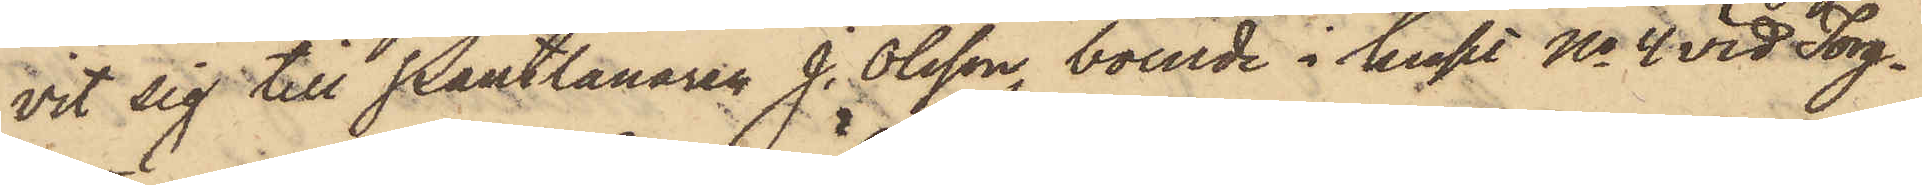vit sig till Pantlånaren J. Olsson, boende i huset No 4 vid Torg¬
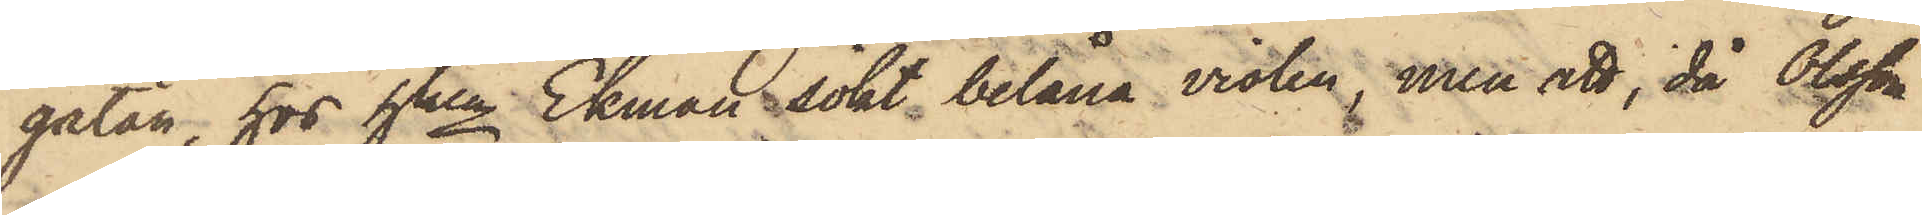gatan, hos hken Ekman sökt belåna violen, men att, då Olsson
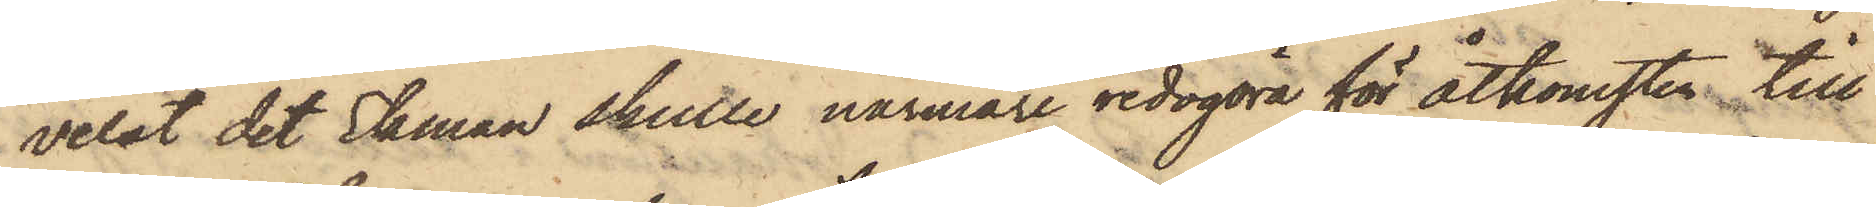velat det Ekman skulle närmare redogöra för åtkomsten till
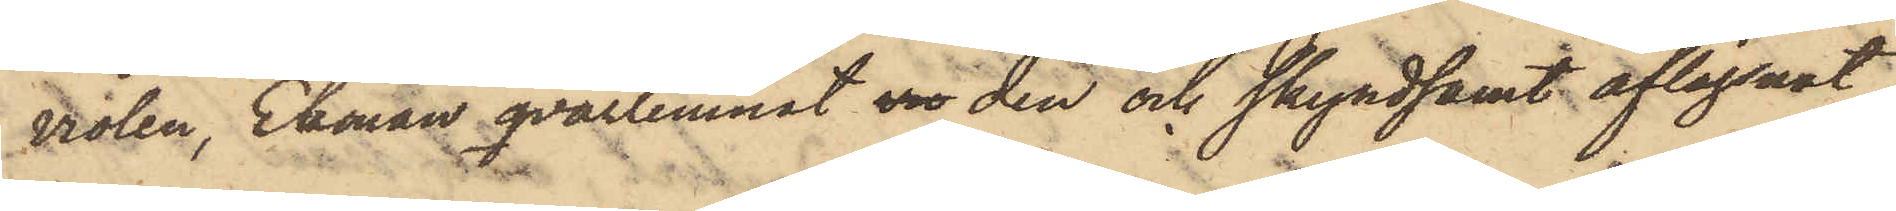violen, Ekman qvarlemnat vio den och skyndsamt aflägsnat
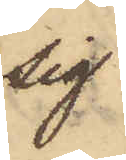sig.
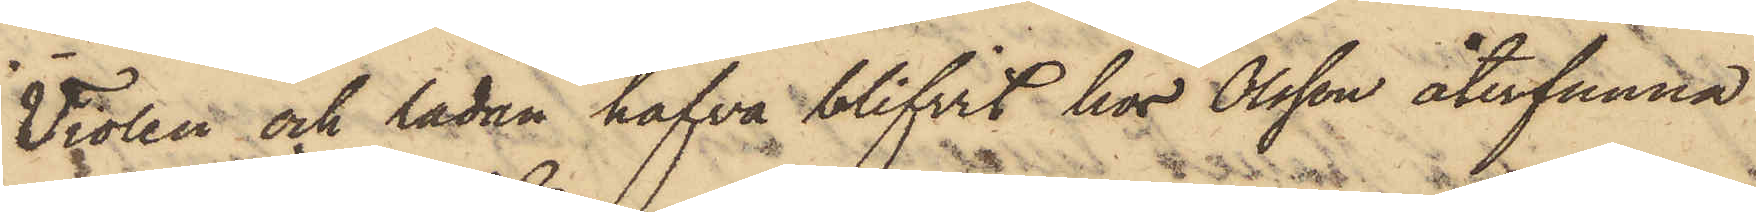Violen och lådan hafva blifvit hos Olsson återfunna
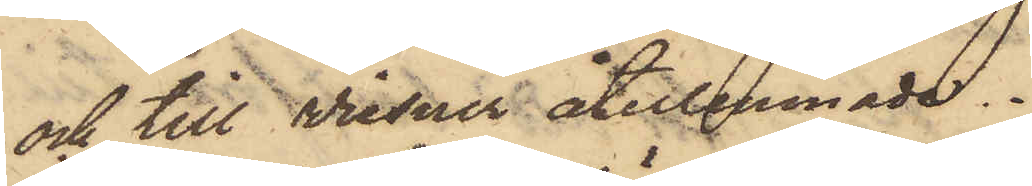och till Wiesner återlemnade.
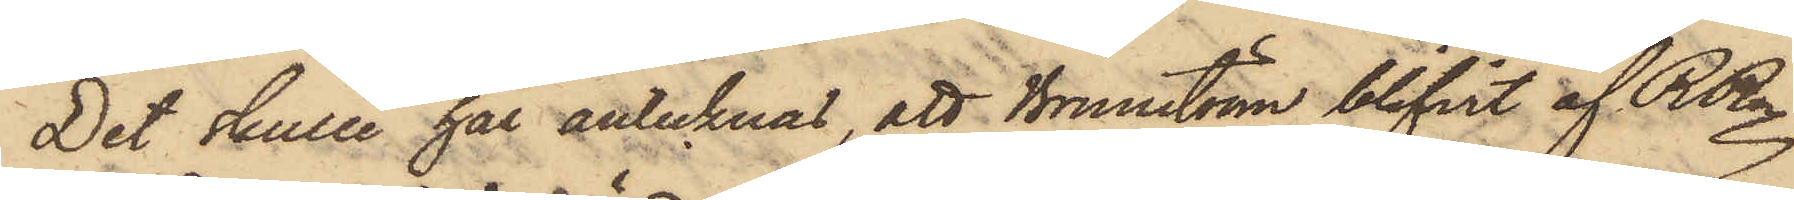Det skulle här antecknas, att Brunström blifvit af RRn
